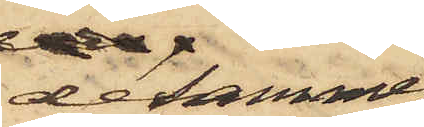desamma
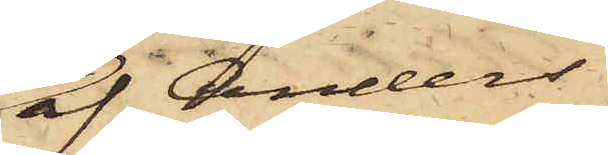af Anders
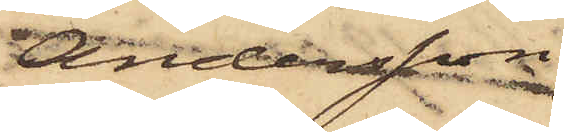Andersson, 
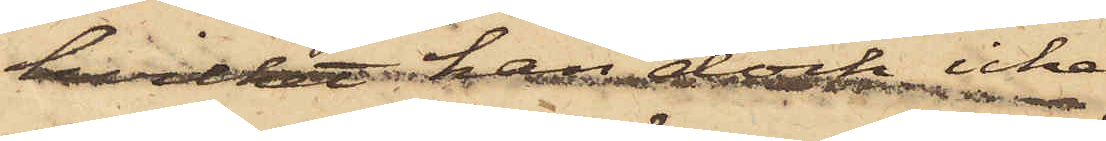hviket han dock icke
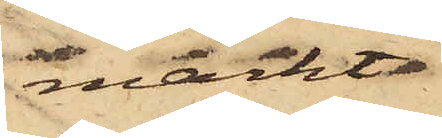märkt
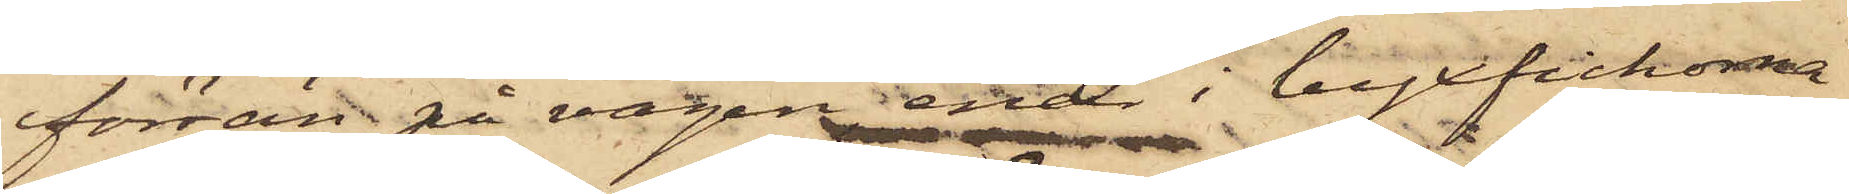förrän på vägen, enär i byxfickorna
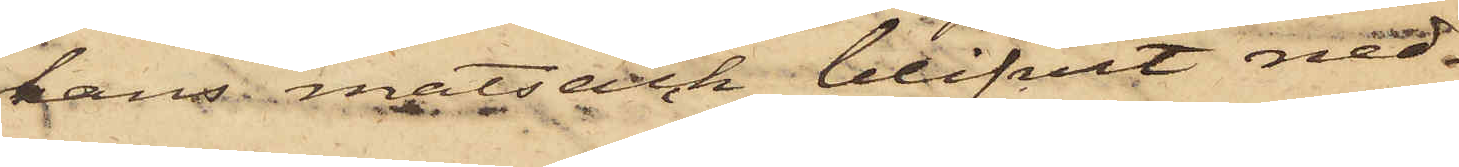hans matsäck blifvit ned¬
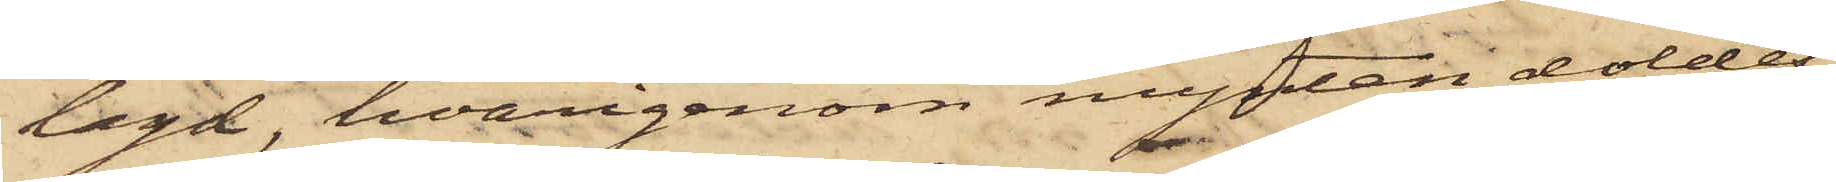lagd, hvarigenom mynten doldes;
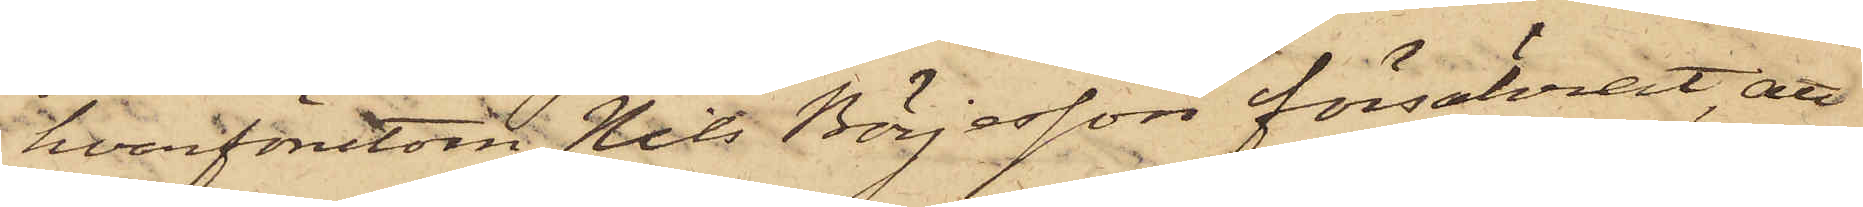hvarförutom Nils Börjesson försäkrat, att
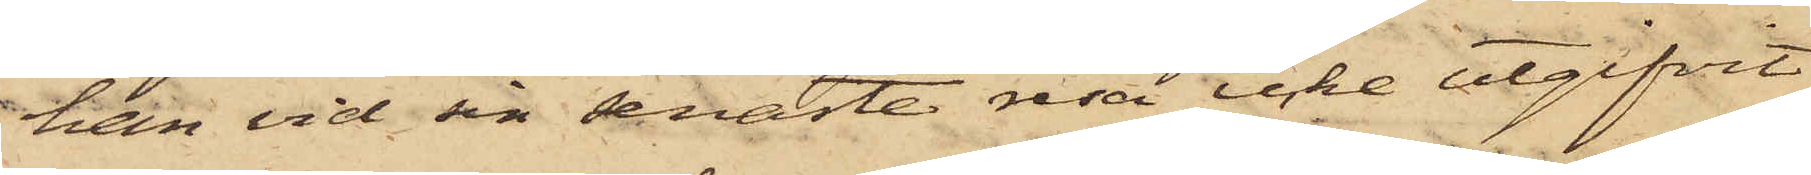han vid sin senaste resa icke utgifvit
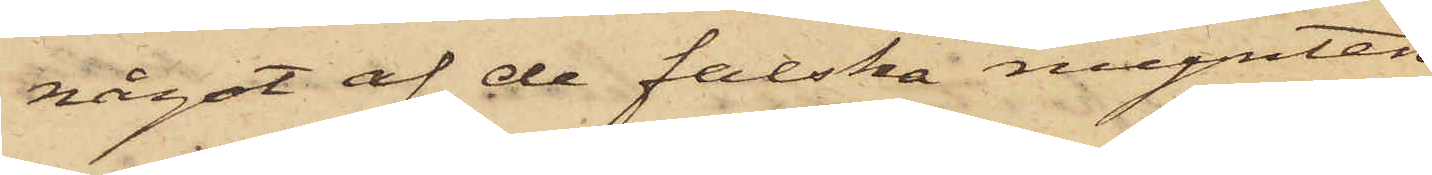något af de falska mynten.
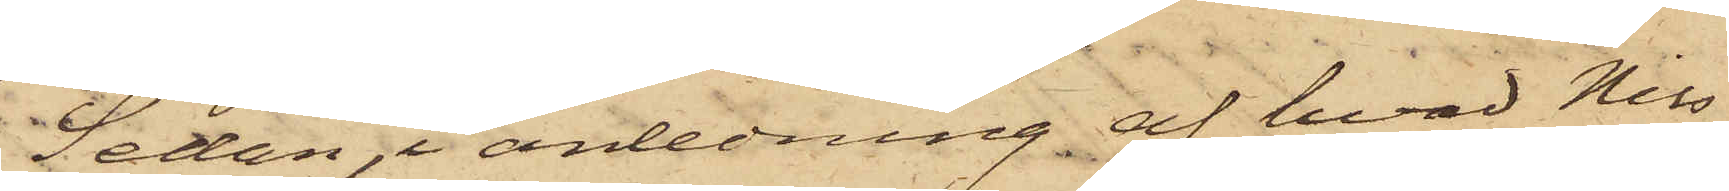Sedan, i anledning af hvad Nils
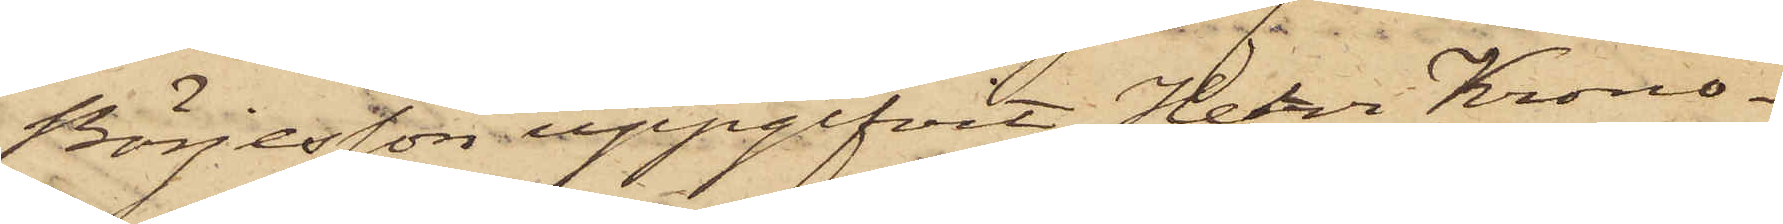Börjesson uppgifvit, Herr Krono¬
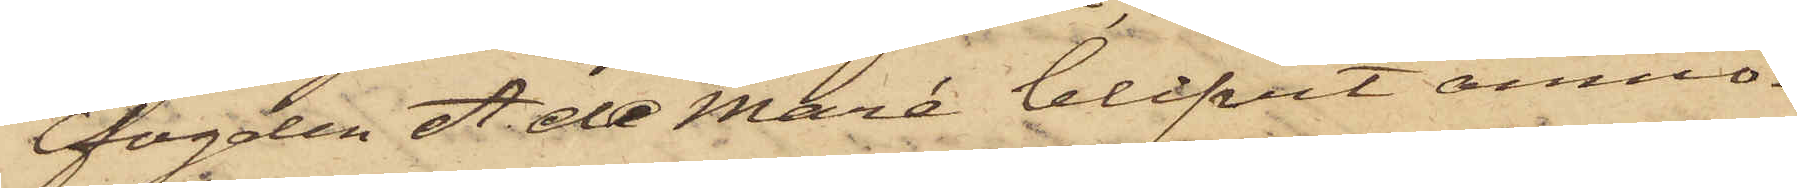fogden A. de Maré blifvit anmo¬
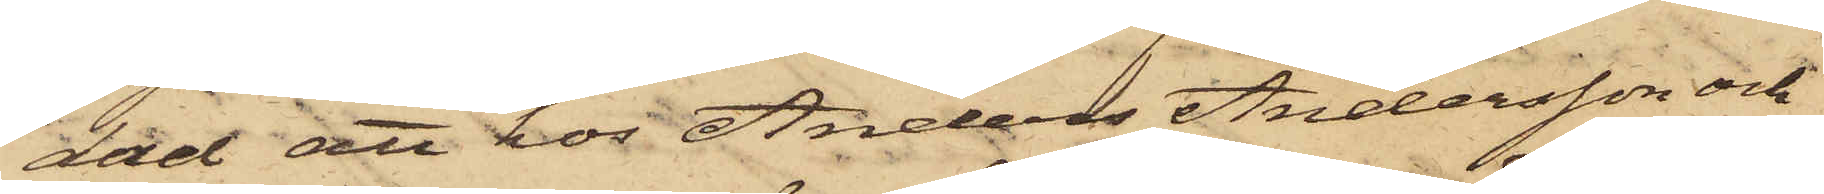dad att hos Anders Andersson och
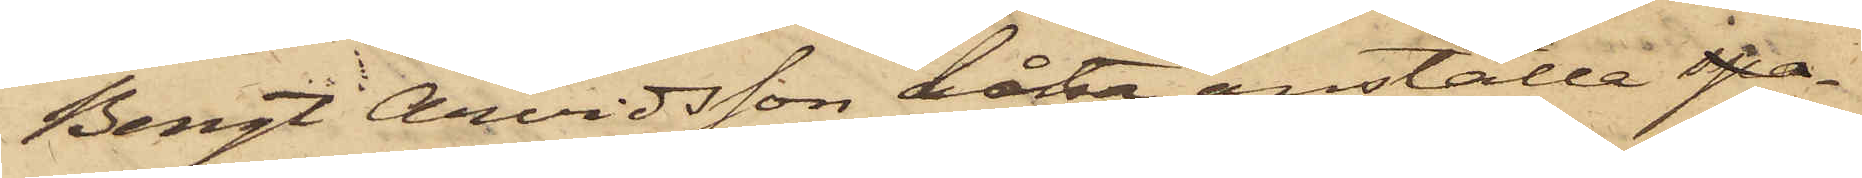Bengt Arvidsson låta anställa spa¬
